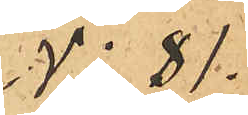No 81.
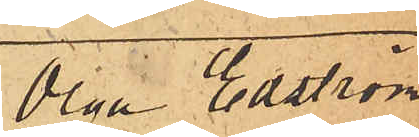Olga Edström
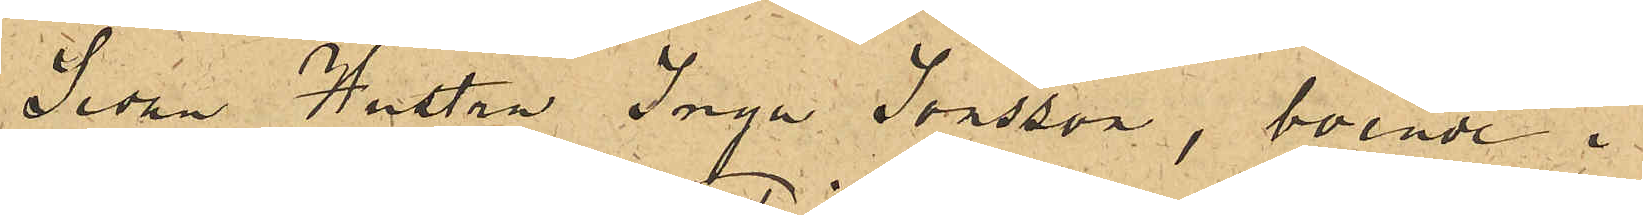Sedan Hustru Inga Jonsson, boende i
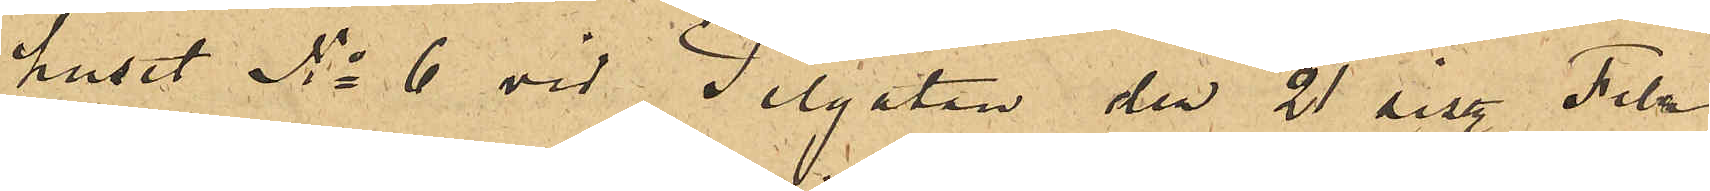huset No 6 vid Pilgatan den 21 sist. Febr
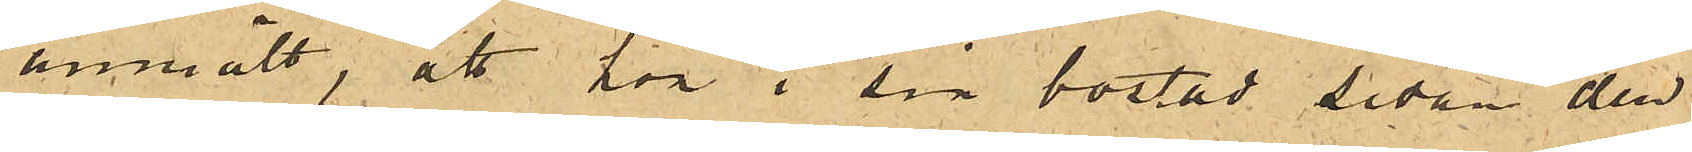anmält, att hon i sin bostad sedan den
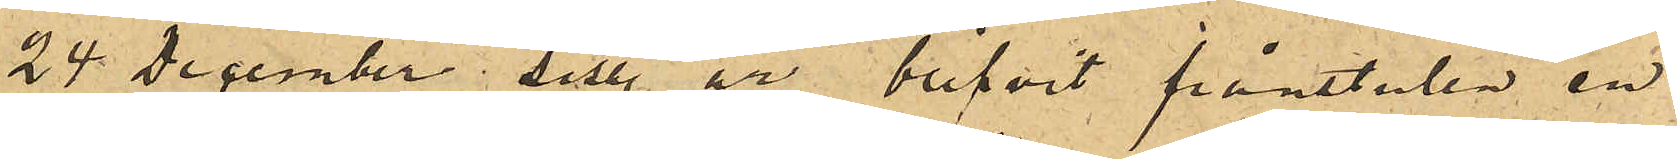24 December sist. år blifvit frånstulen en
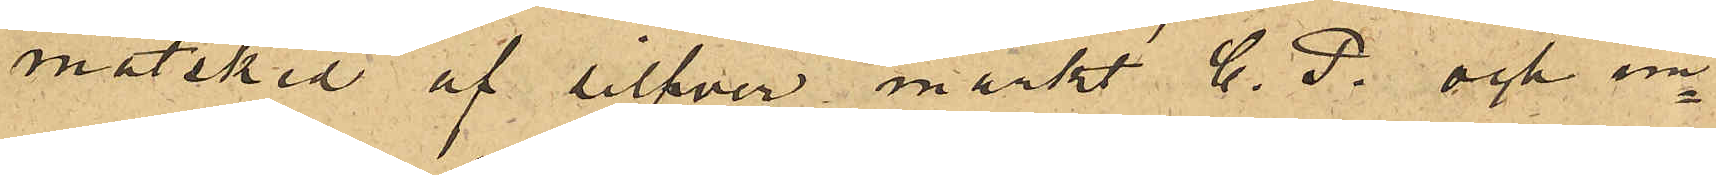matsked af silfver märkt C. P. och un¬
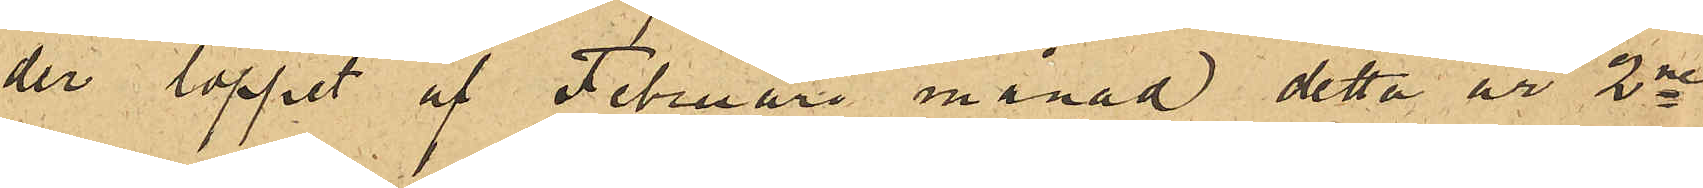der loppet af Februari månad detta år 2ne
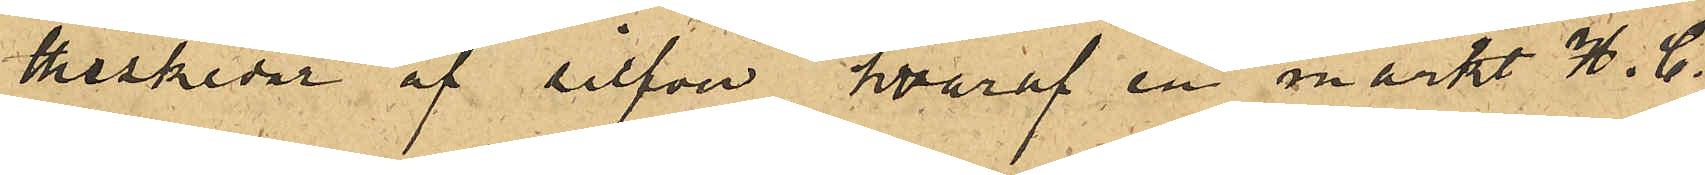theskedar af silfver, hvaraf en märkt H. C.
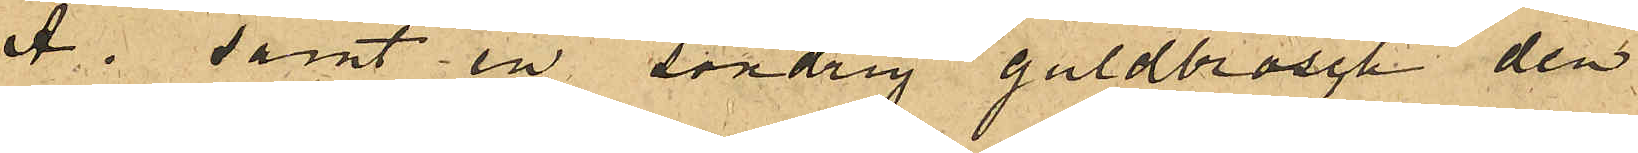A. samt en söndrig guldbrosch den
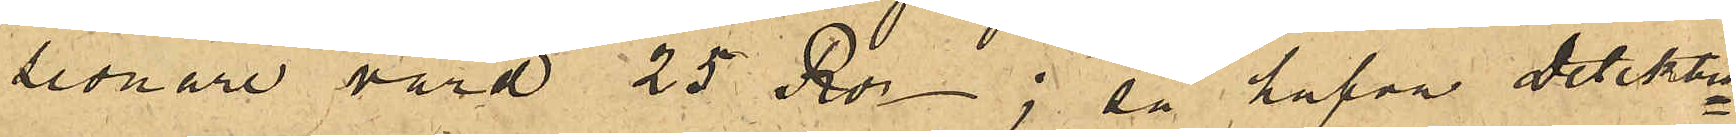senare värd 25 Rdr; så hafva Detektiv¬
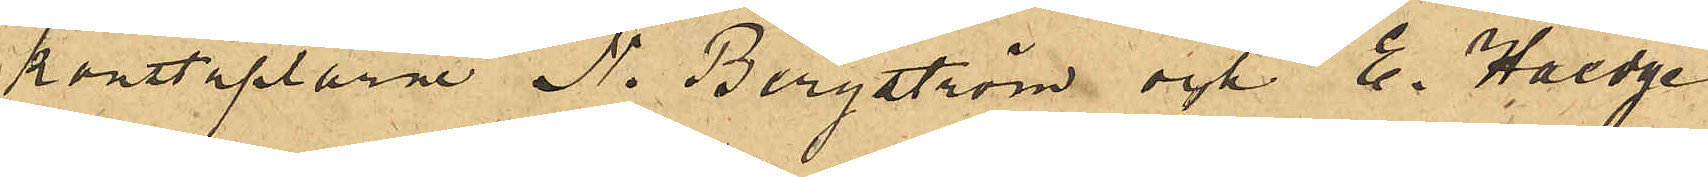konstaplarne N. Bergström och E. Haedge
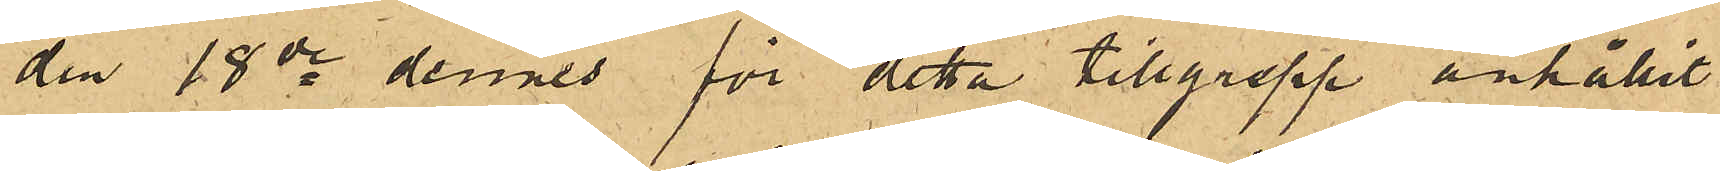den 18de dennes för detta tillgrepp anhållit
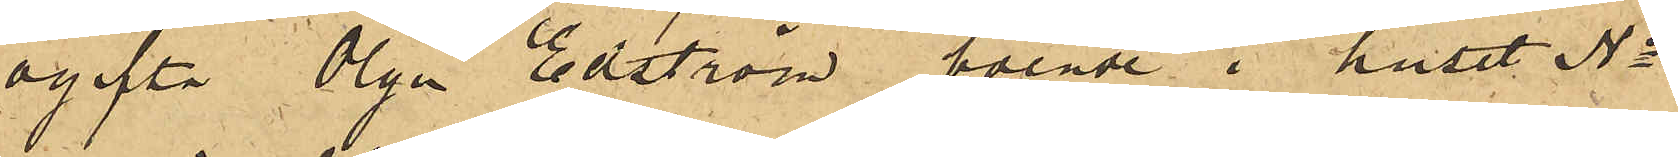ogifta Olga Edström boende i huset No
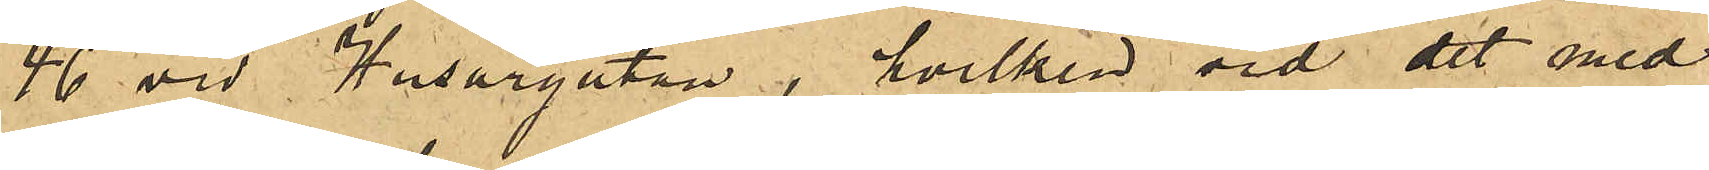46 vid Husargatan, hvilken vid det med
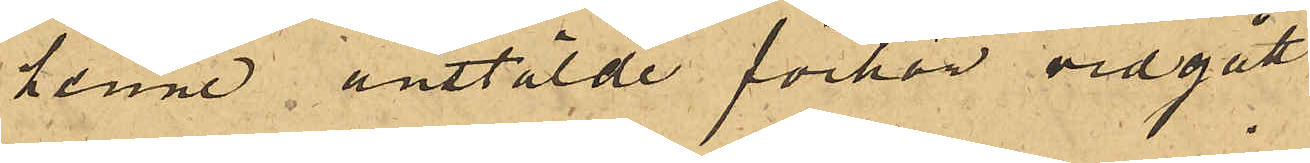henne anstälde förhör vidgått,
